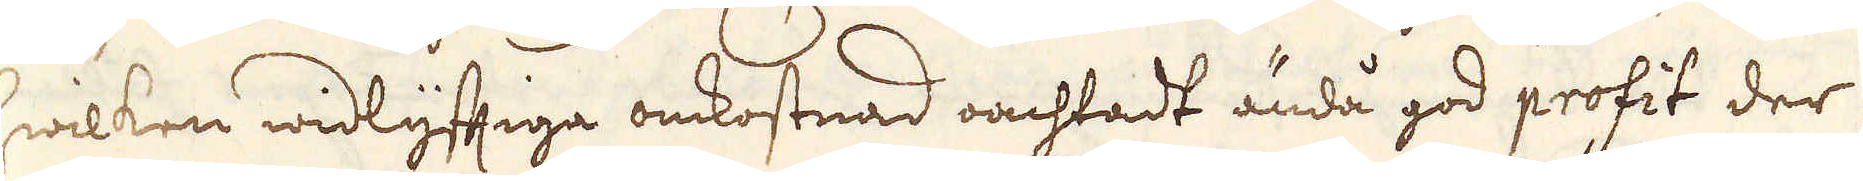wilken widlyfftiga omkostnad oachtadt ändå god profit der
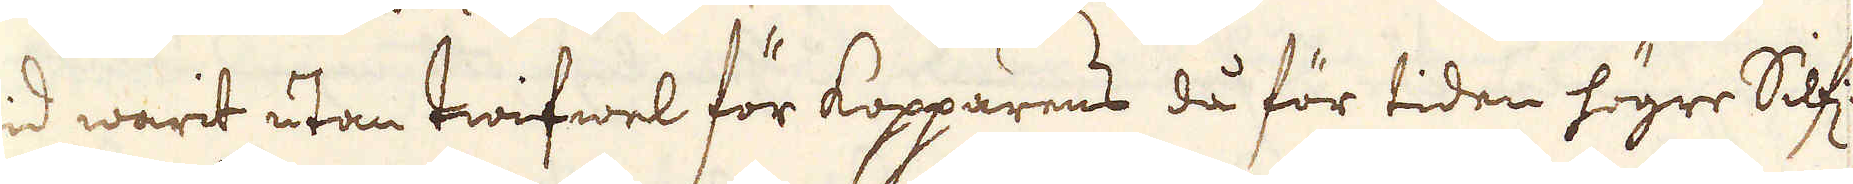wid warit utan twifwel för kopparens då för tiden högre Silf:
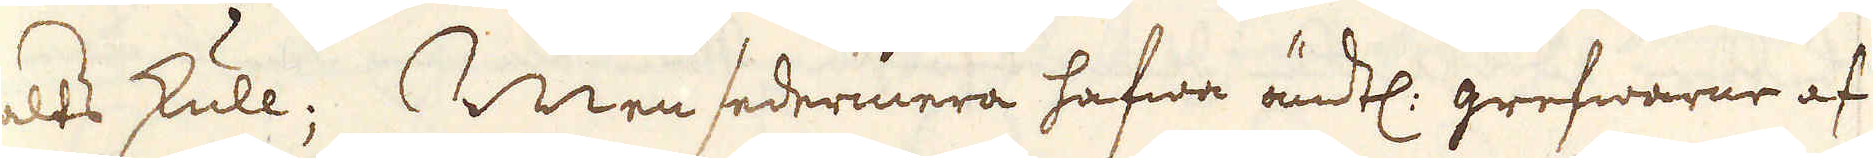halts skull; Men sedermera hafwa ändtl: grefwarne af
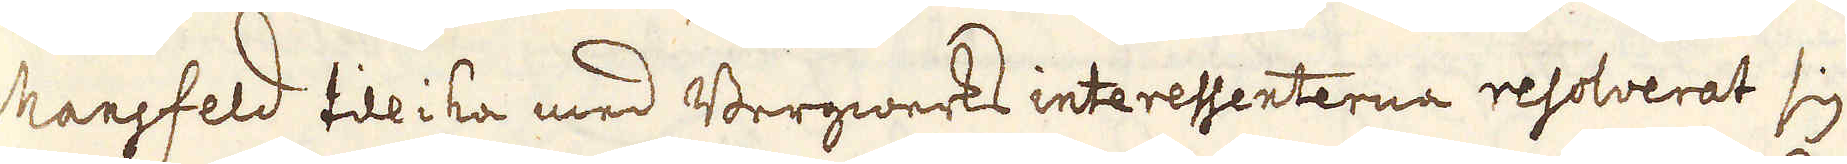Mansfeld tillika med Bergwerks interessenterna resolverat sig
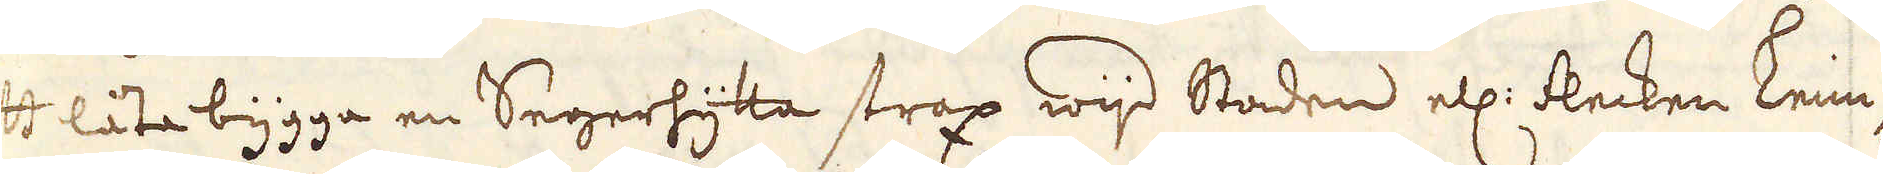att låta bygga en Segerhytta strax wijd Staden ell: flecken Leim-
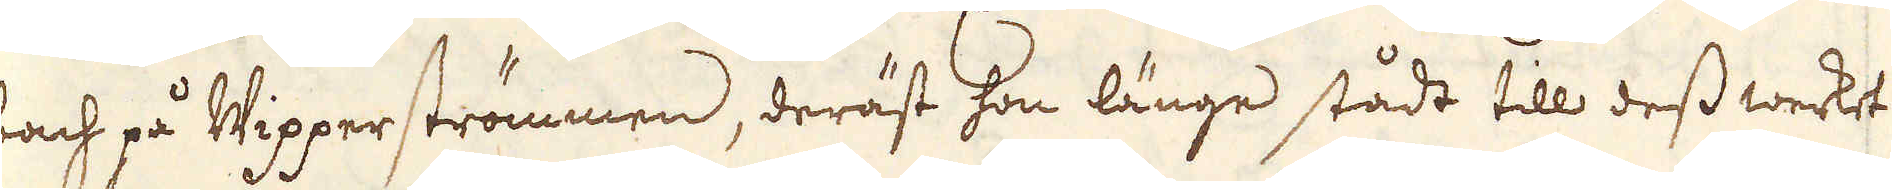bach på Wipperströmmen, deräst hon länge stådt till dess werket
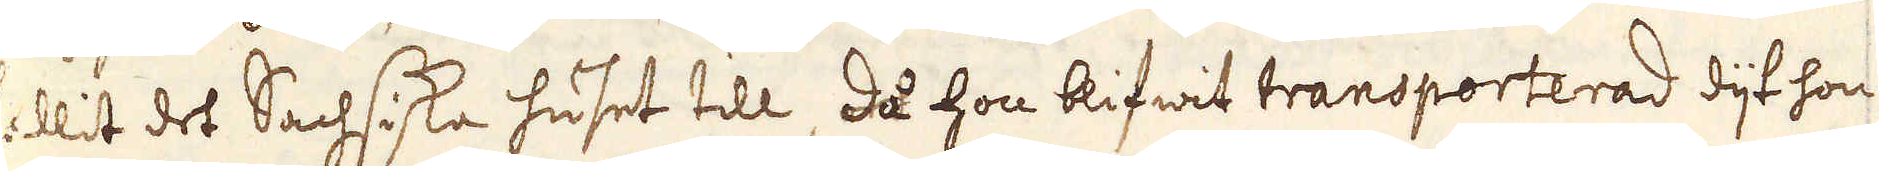fallit det Sachsiska huset till, det hon blifwit transporterad dijt hon
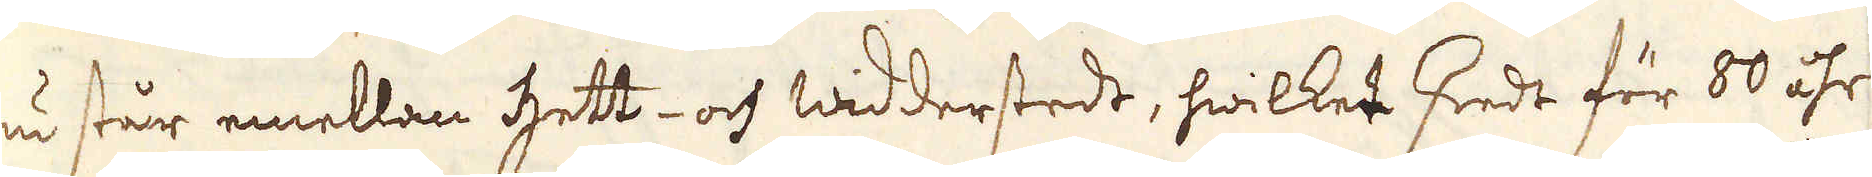nu står emellan Hett- och Widderstedt, hwilket skedt för 80 åhr
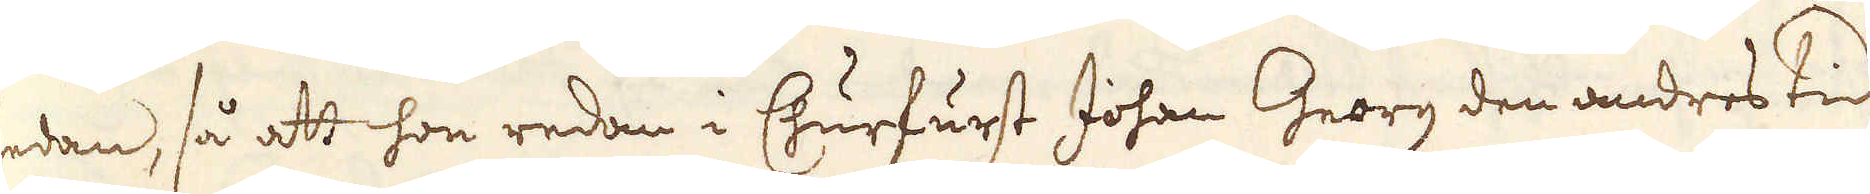sedan, så att hon redan i Churfurst Johan Georg den andres tid
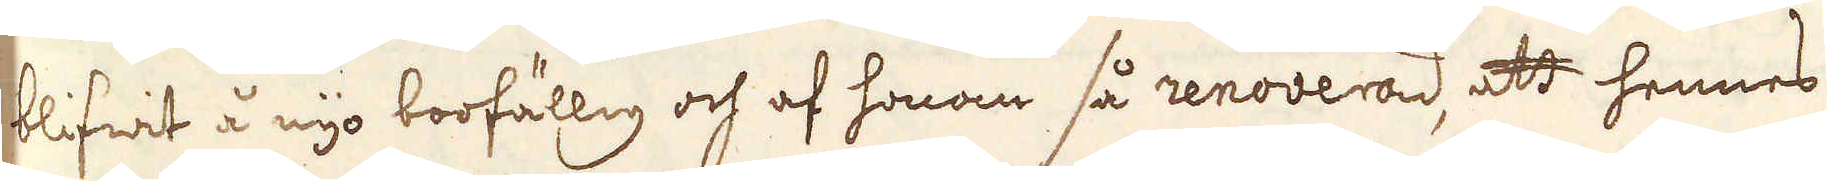blifwit å nyo boofällig och af honom så renoverad, att hennes
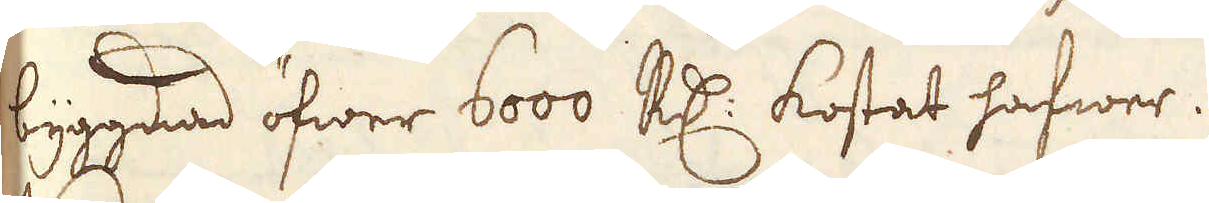byggnad öfwer 6000 R:dr kostat hafwer.
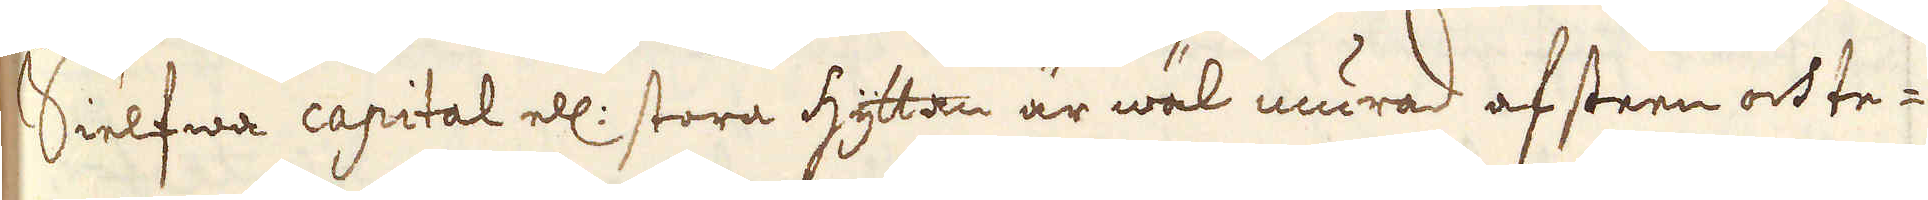Sielfwa capital ell: stora hyttan är wäl murad af steen och te-
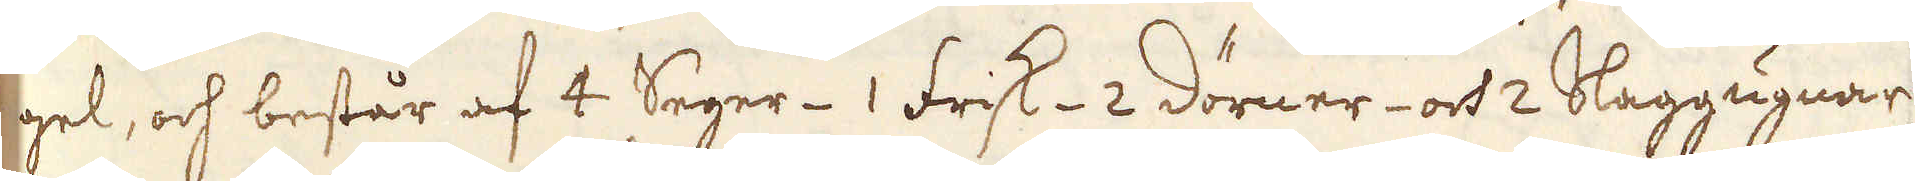gel, och består af 4 Seger- 1 Frisk- 2 Dörner- och 2 Slaggugnar,
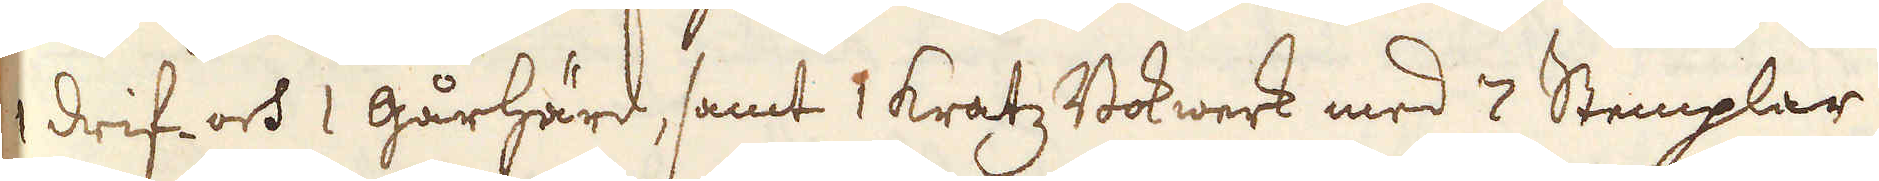1 drif- och 1 gårhärd, samt 1 Kratz Bokwerk med 7 Stemplar
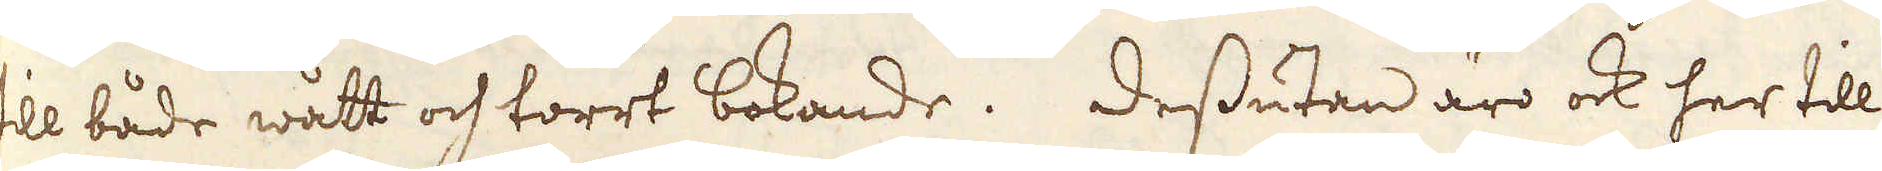till både wått och torrt bokande. Dessutan äro ock her till
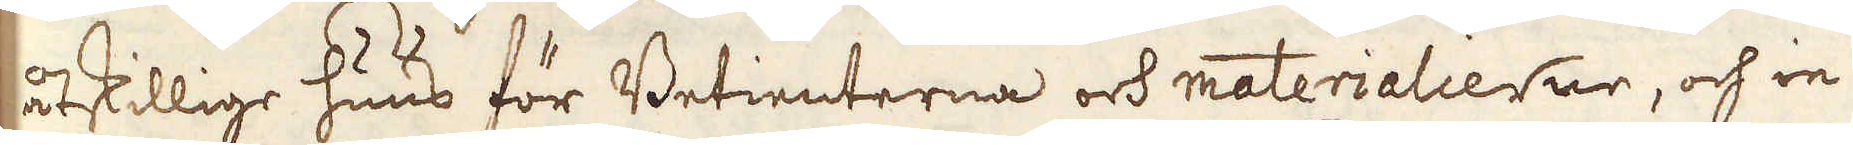åtskillige huus för Betienterna och materialierne, och in
